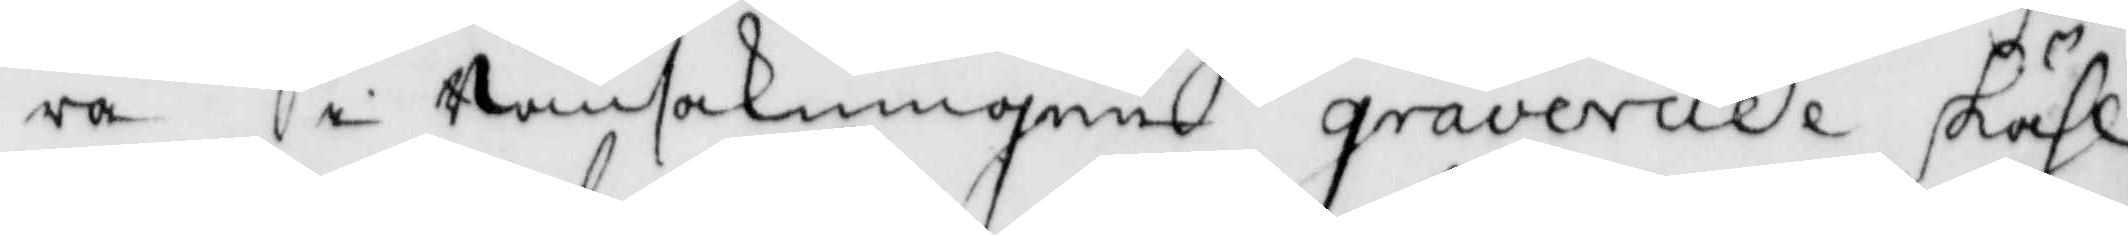ra i ransakningen graverade skähl
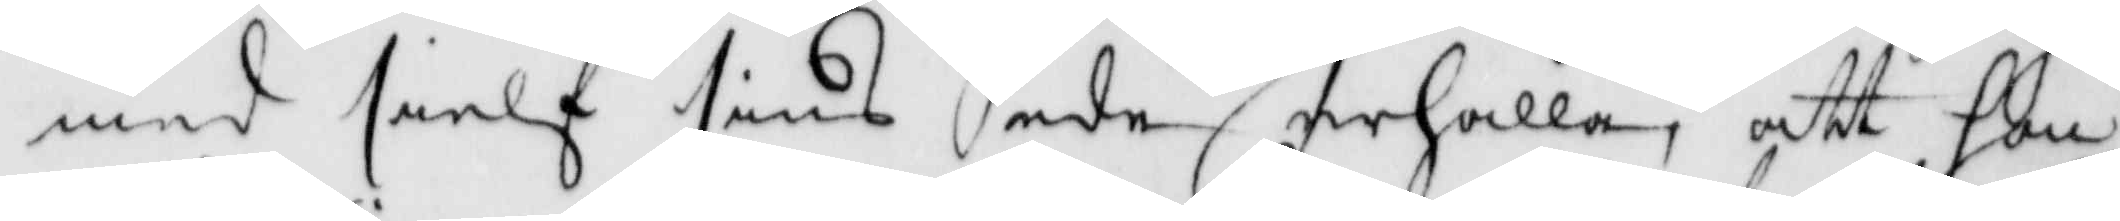med sielf sinsede erhålla, att hon
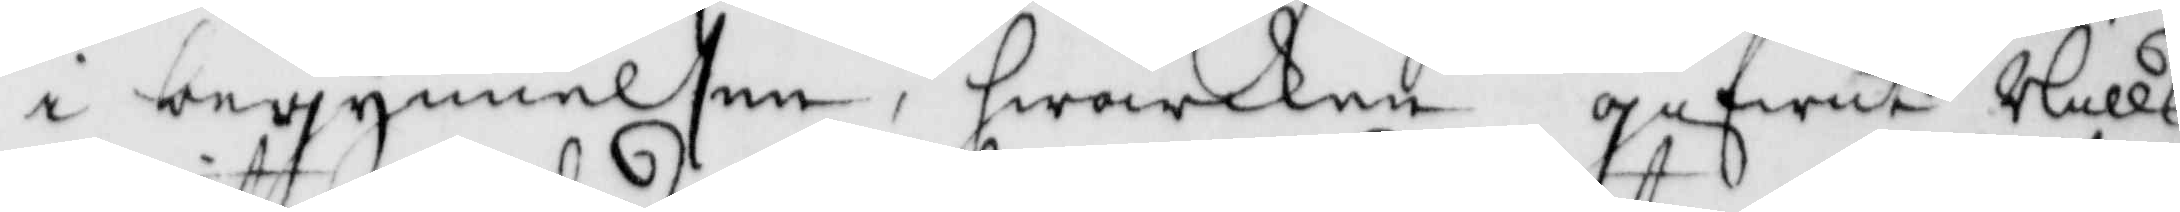i begynnelsen, hwarken gifwitt Nills
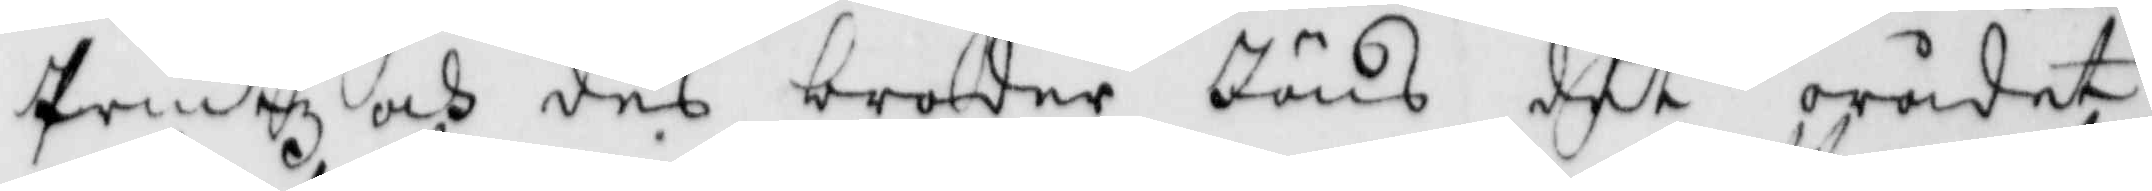Printz och des broder Jöns det orådet
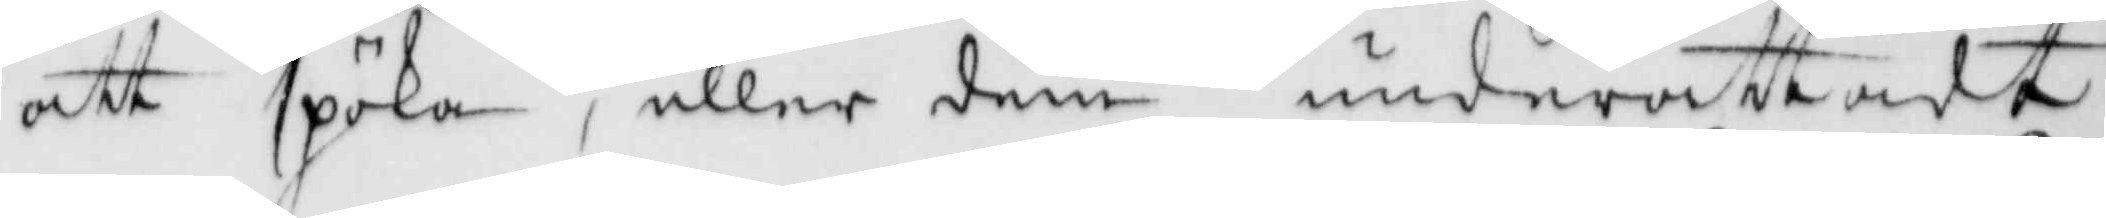att spöka, eller dem underättadt
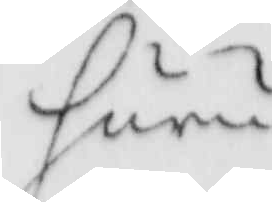huru
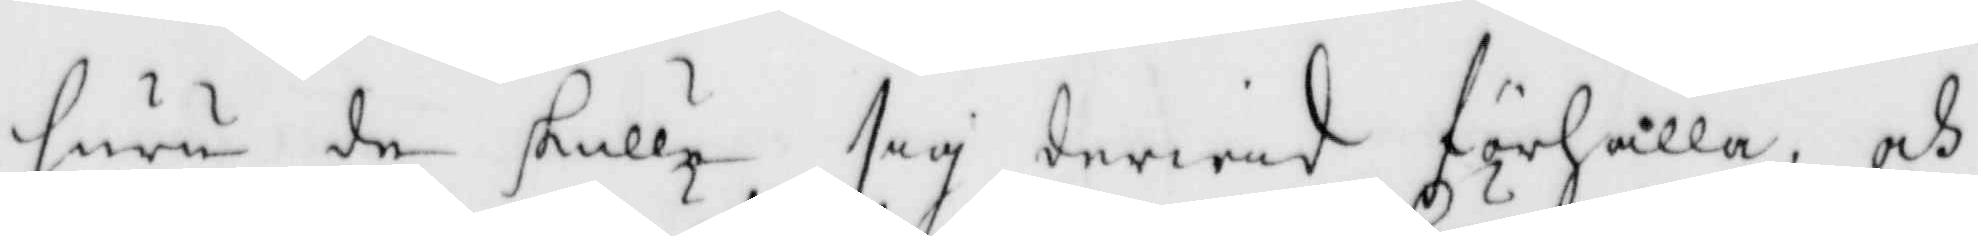huru de skulle sig derwid förhålla, och
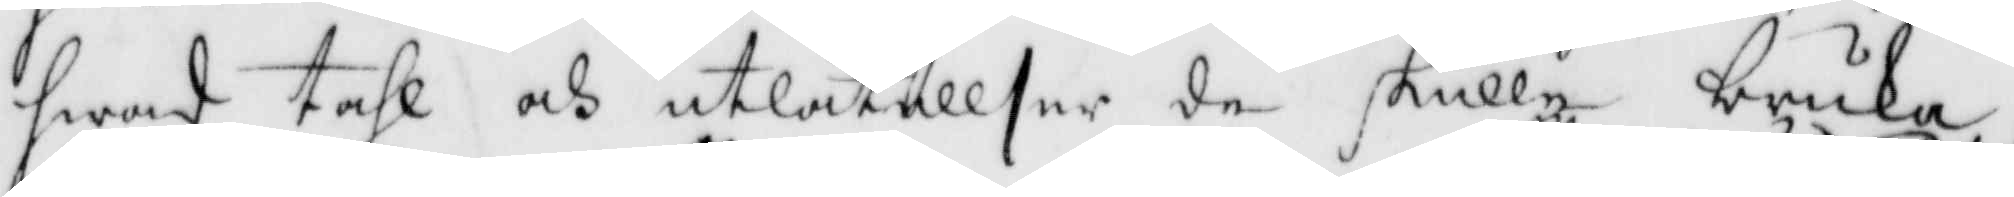hwad tahl och utlåtekkser de skulle bruka,
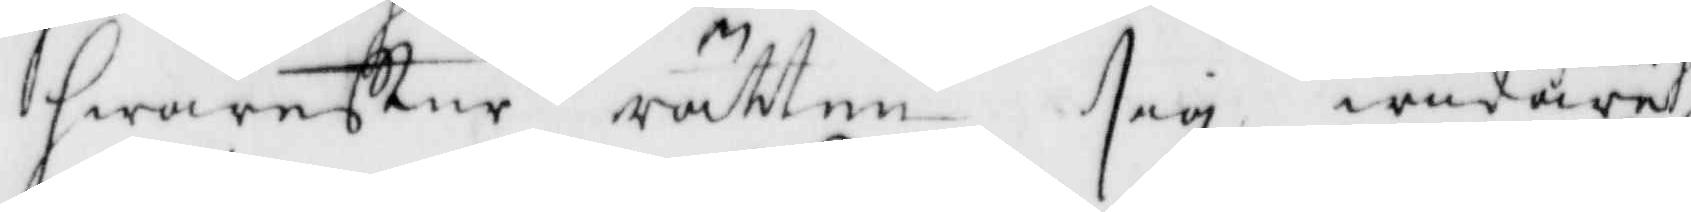hwarefter rätten sig widare
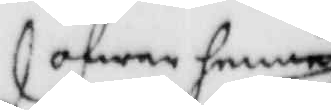öfwer henne
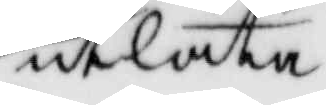utlåta
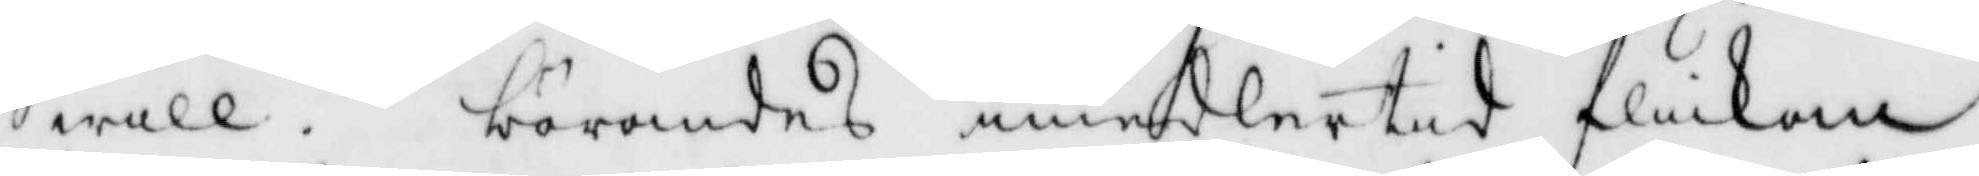will. börandes emedlertid flickan
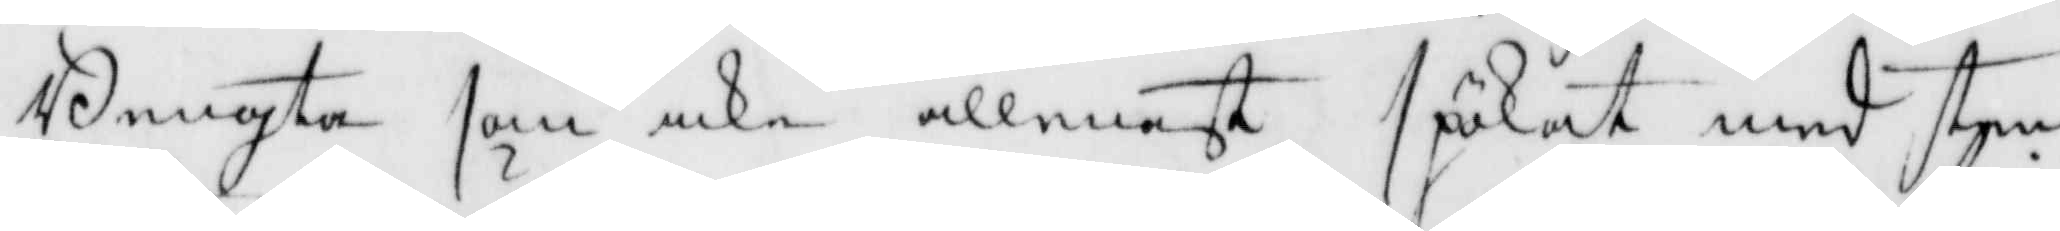Bengta som icke allenast spökat med sten
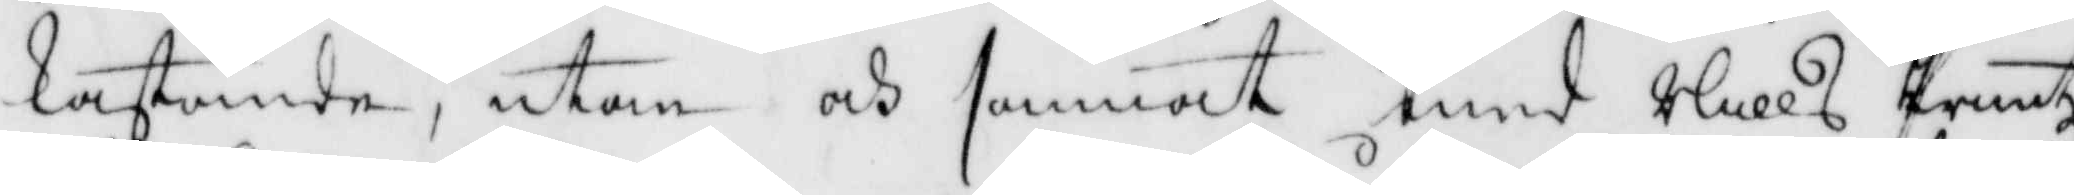kastande, utan och sammat med Nills Printz
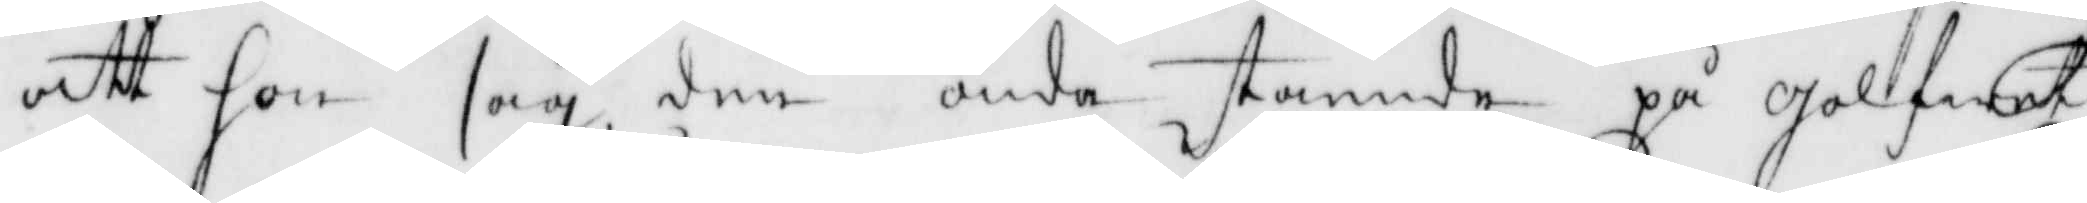att hon såg den onda stående på golfwet
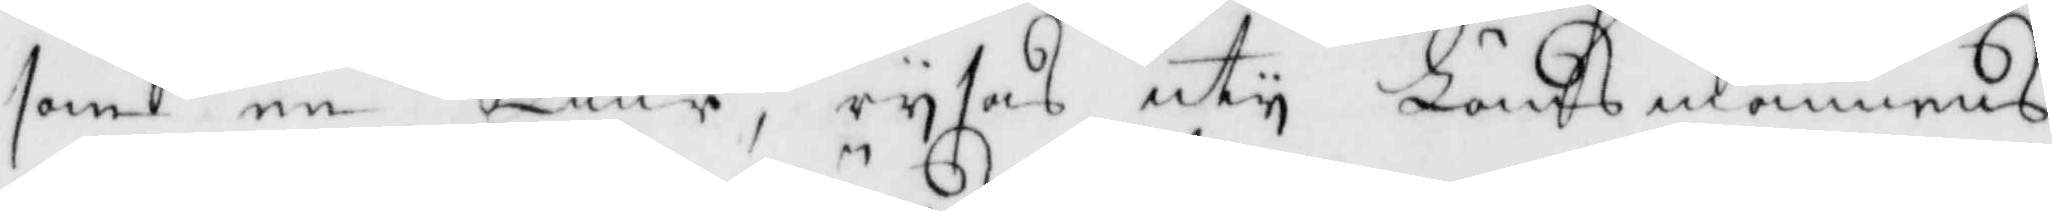som en Tiur, rysas uty Länsmannens
